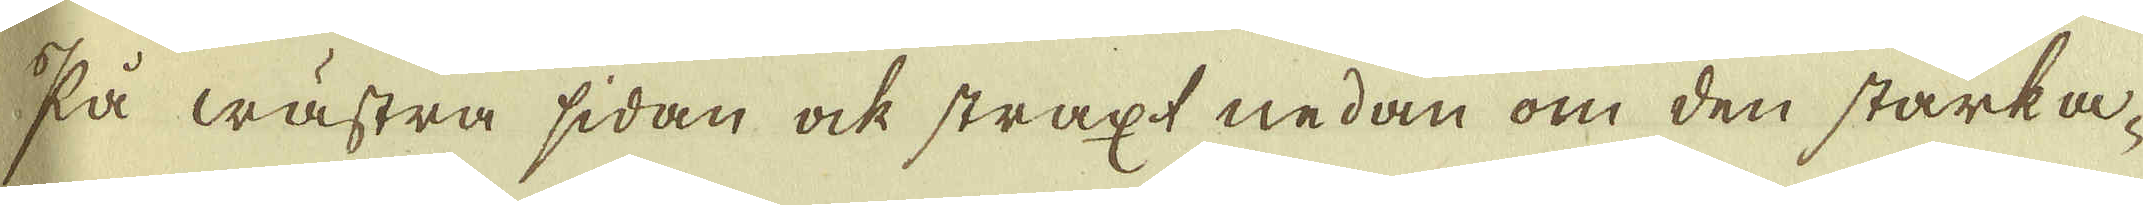På wästra sidan ock straxt nedan om den starka-
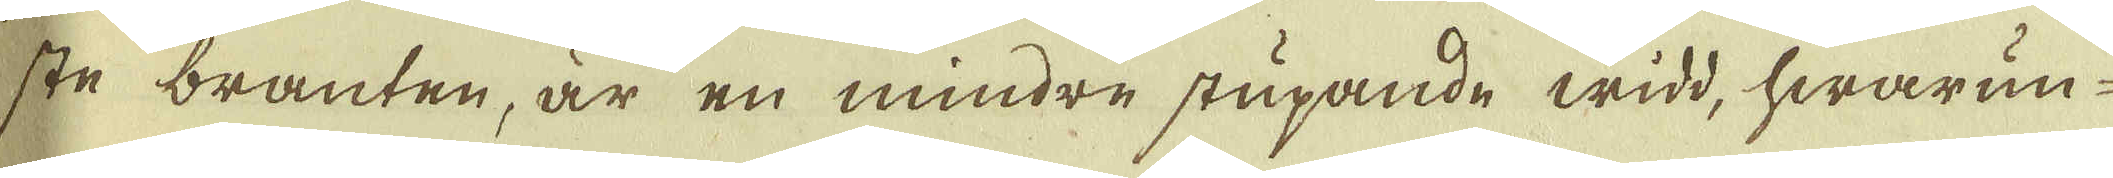ste branten, är en mindre stupande widd, hwarun-
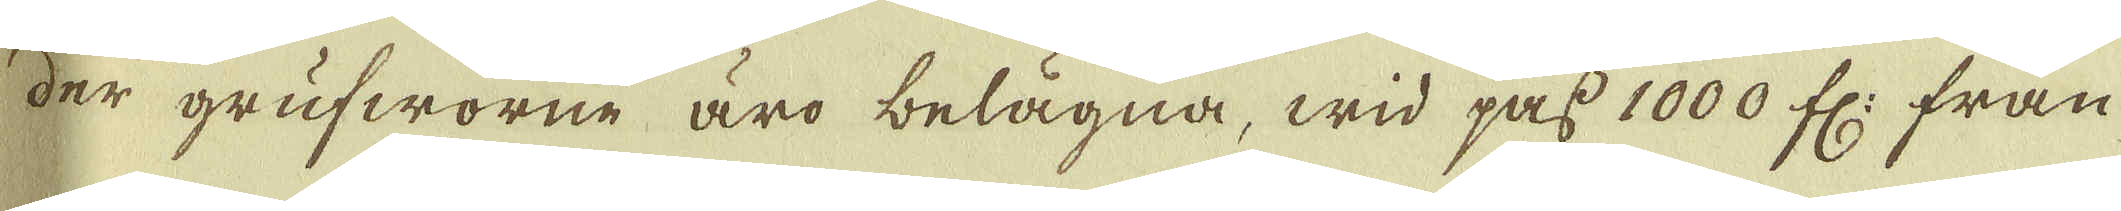der grufworne äro belägna, wid pass 1000 fr: från
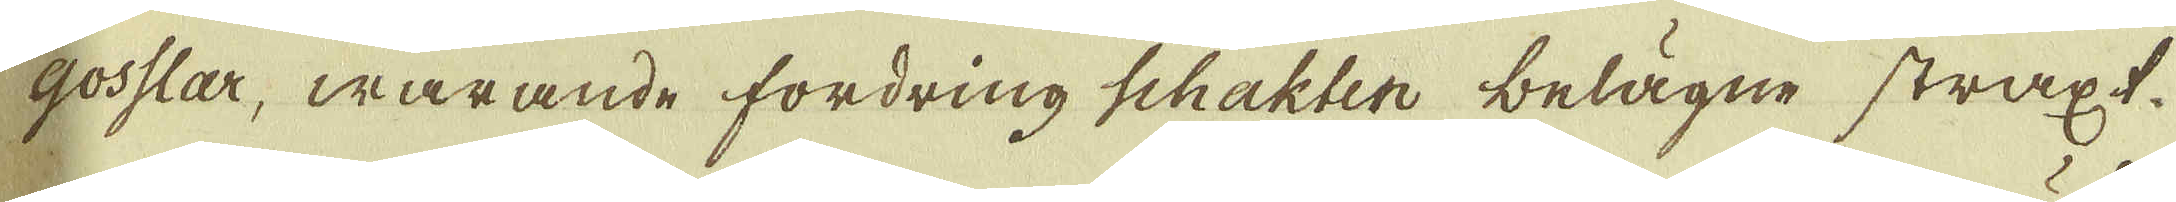Gosslar, warande fordring Schakter belägne straxt.
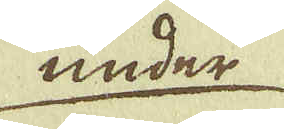under
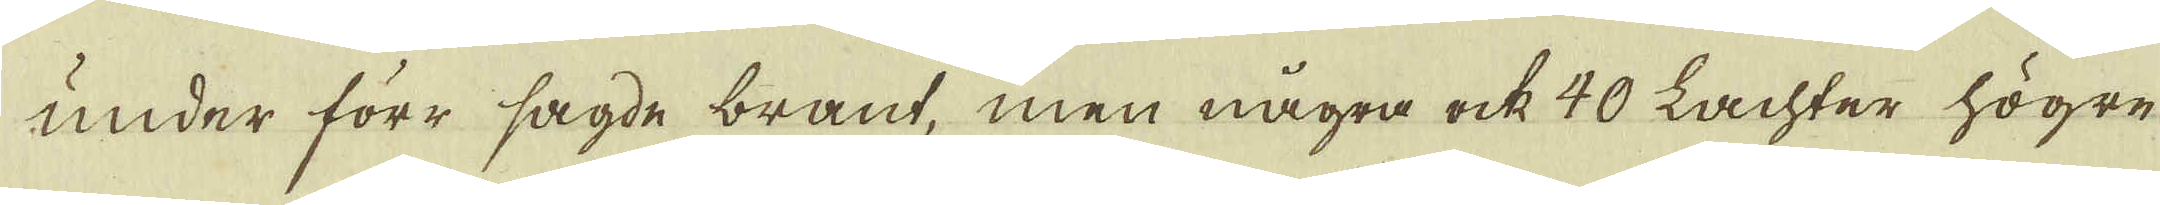under förr sagde brant, men några ock 40 Lachter högre
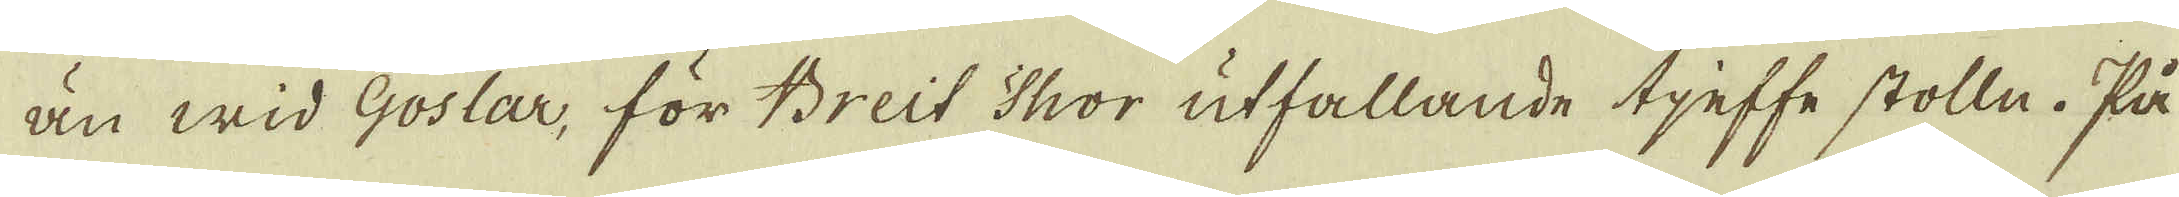än wid Goslar, för Breit Thor utfallande tjeffe stolle. På
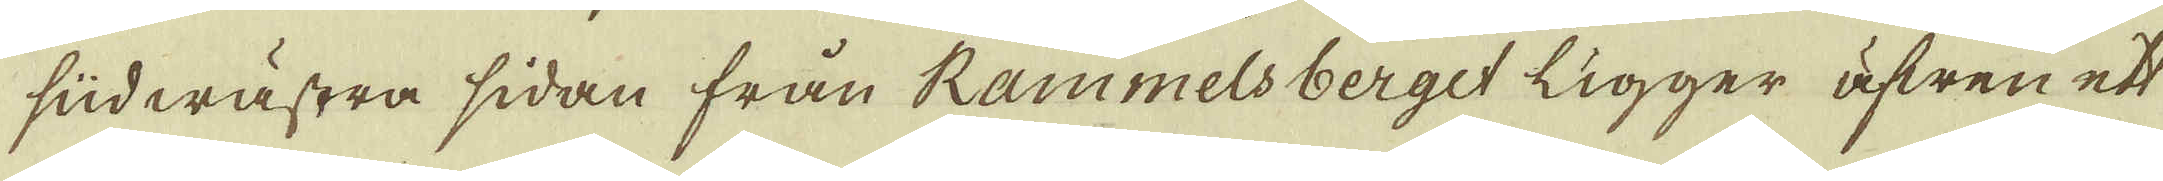sudwästra sidan från Rammelsberget ligger äfwen ett
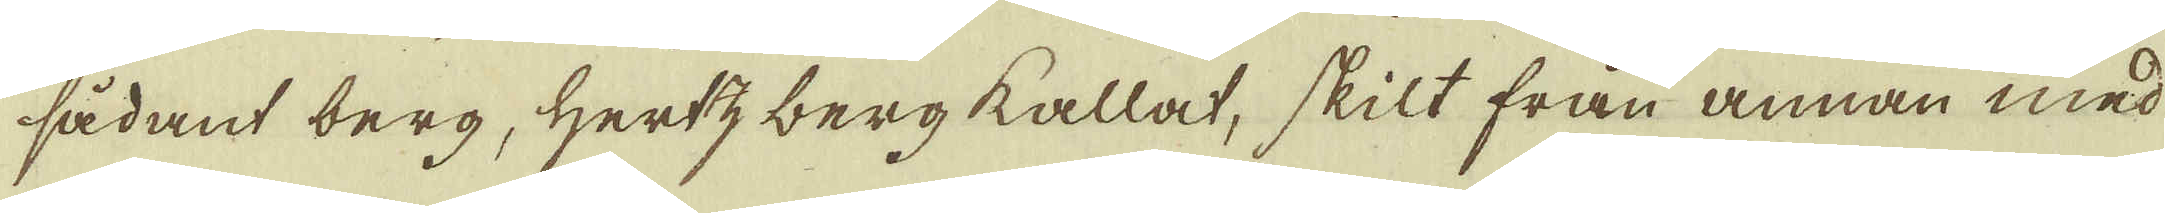sådant berg, Hertzbergs kallat, skilt från annan med
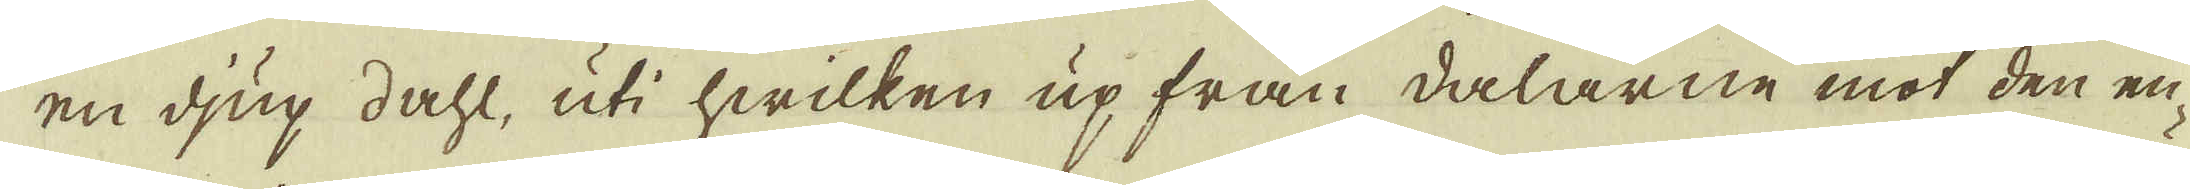en djup dahl, uti hwilken up från dalarne mot den en-
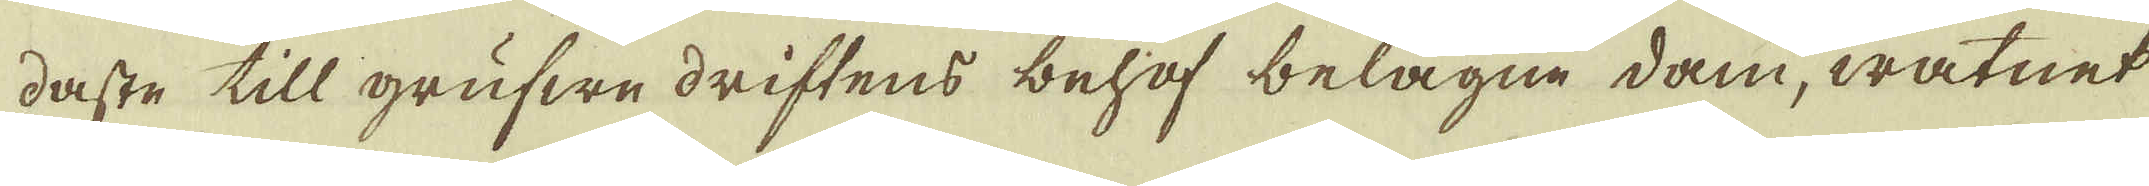daste till grufwe driftens behof belägne dam, watnet
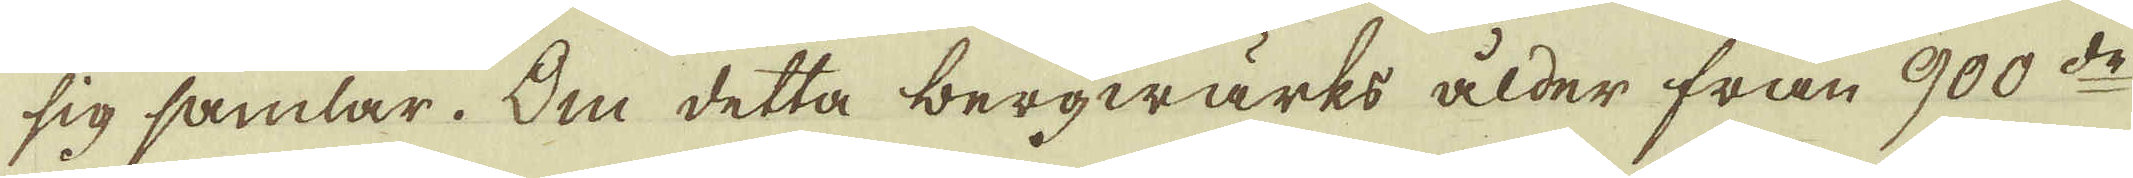sig samlar. Om detta bergwärks ålder från 900:de
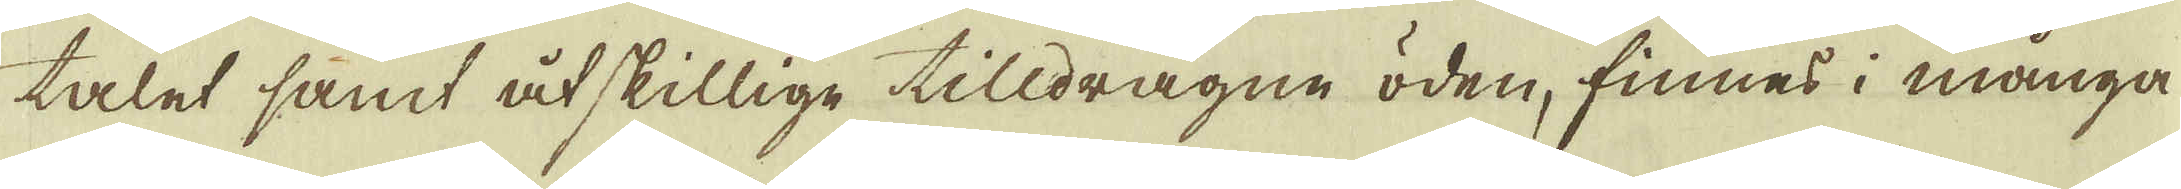talet samt åtskillige tilldragne öden, finnes i många
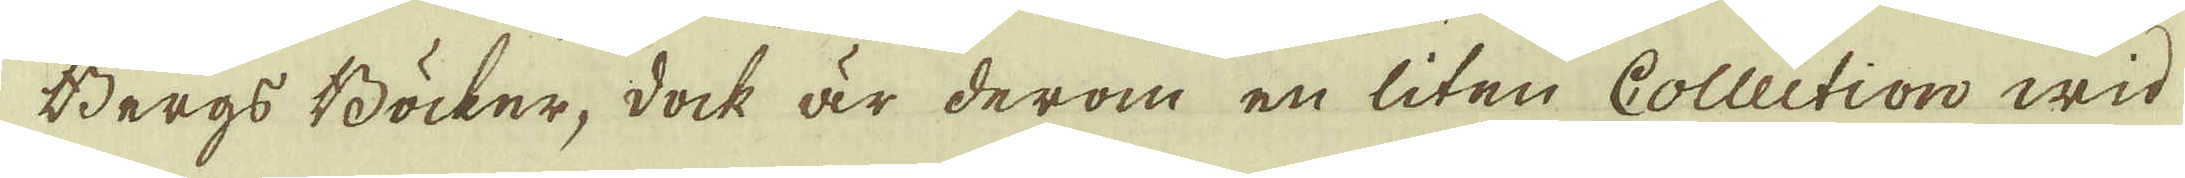Bergs Böcker, dock är derom en liten Collection wid
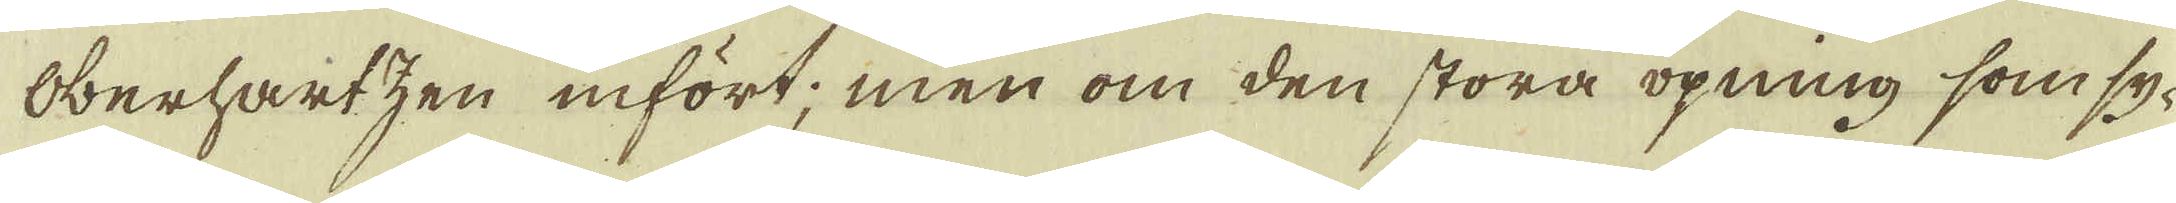Oberhartzen infört; men om den stora öpning som sy-
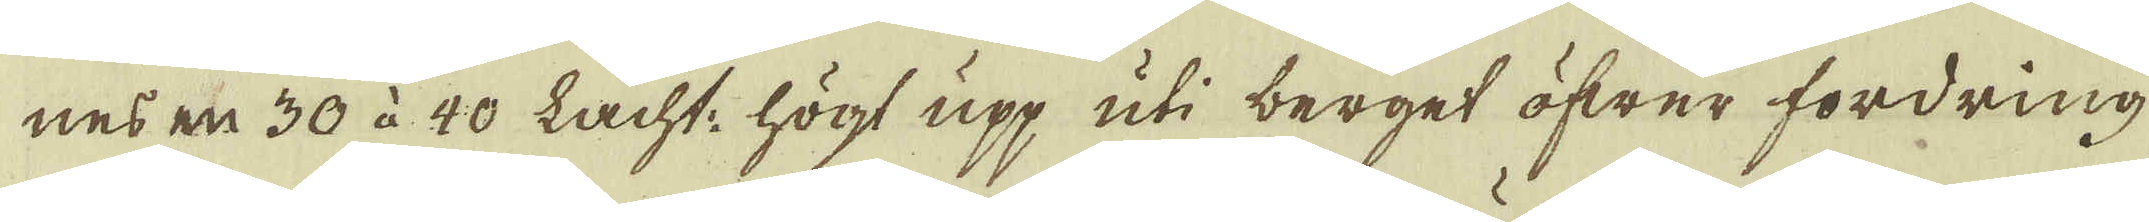nes en 30 à 40 lacht. högt upp uti berget öfwer fordring
